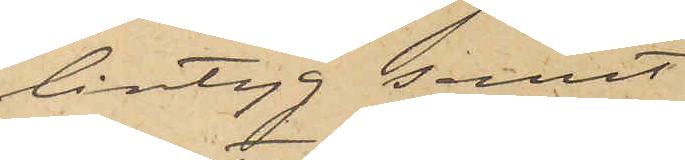lintyg samt
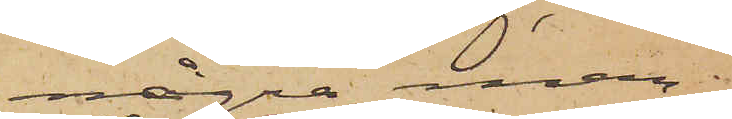några man¬
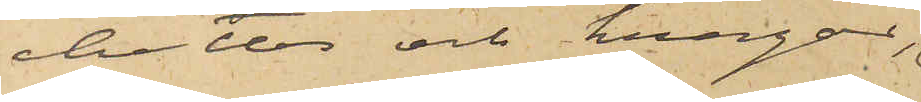chetter och kragar,
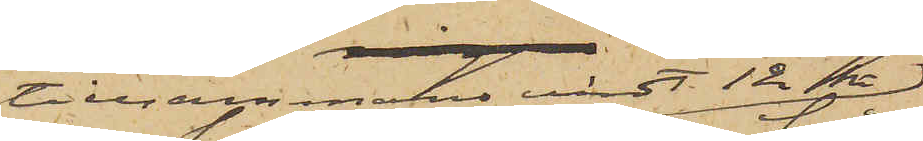tillsammans värdt 12 kr 
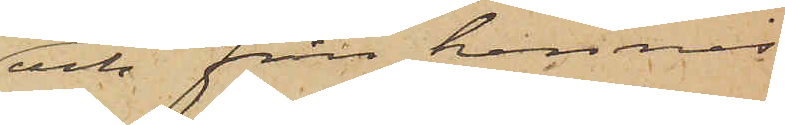och från hennes
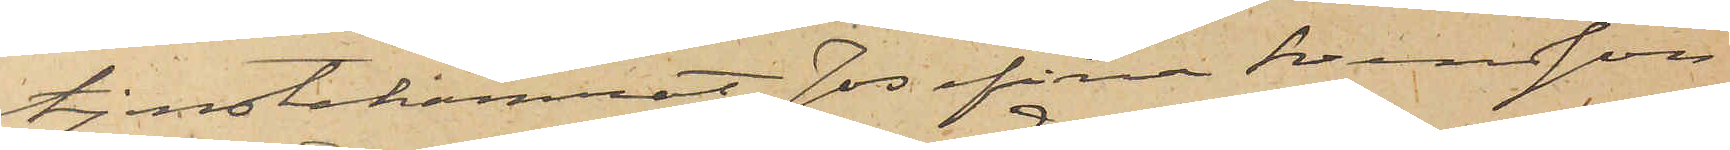tjenstekamrat Josefina Svensson
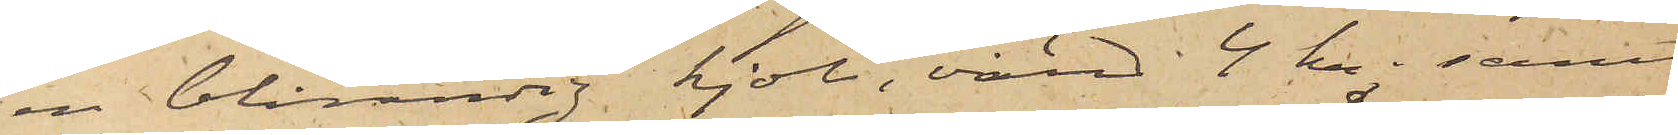en blårandig kjol, värd 4 kr; samt
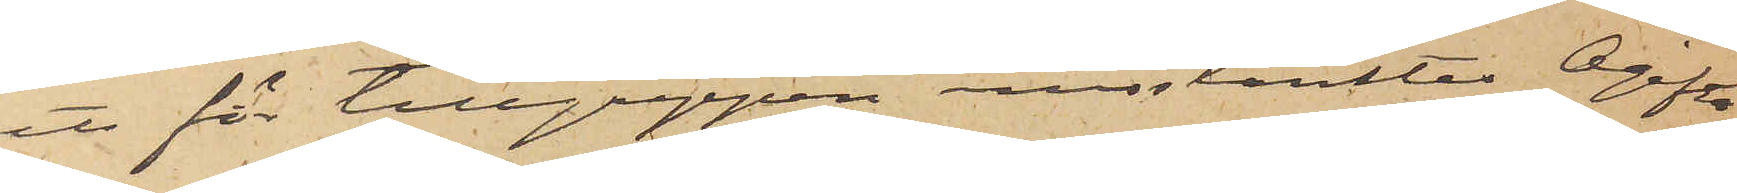att för tillgreppen misstänktes Ogifta
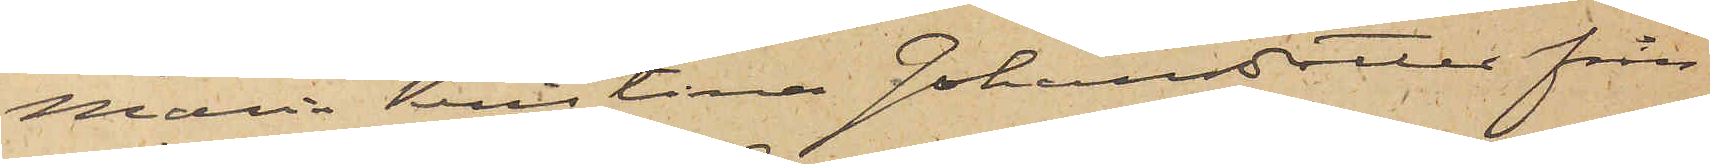Maria Kristina Johansdotter från
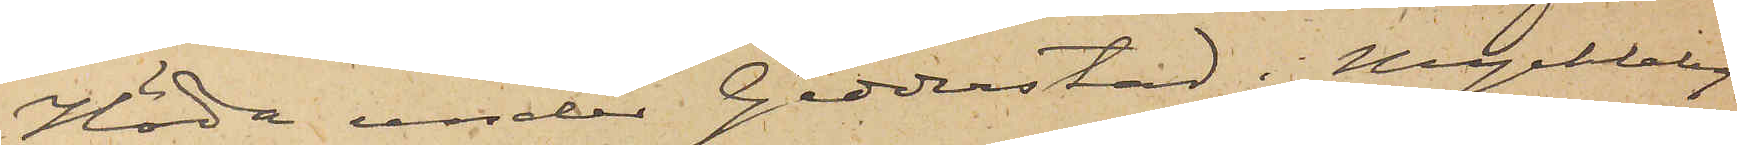Höda under Gedderstad i Myckleby
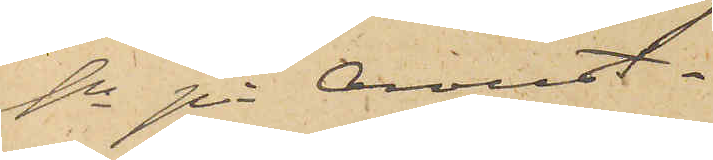sn på Oroust.
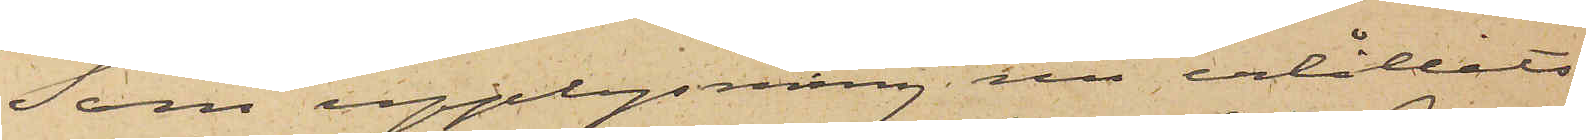Som upplysning nu erhållits
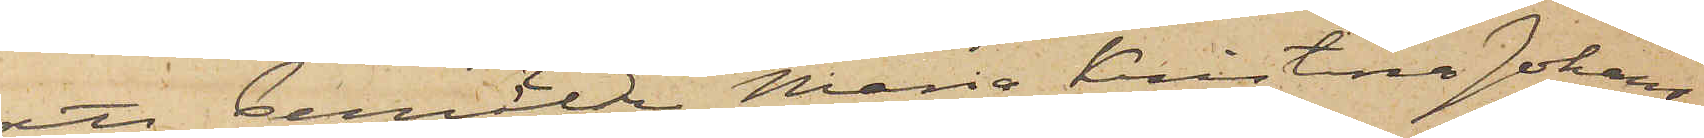att bemälda Maria Kristina Johans¬
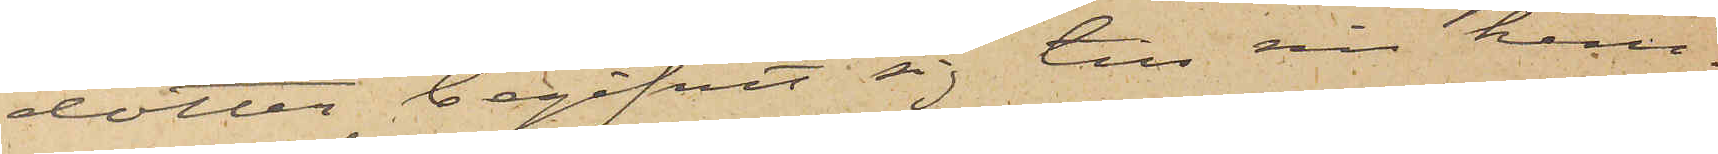dotter begifvit sig till sin hem¬
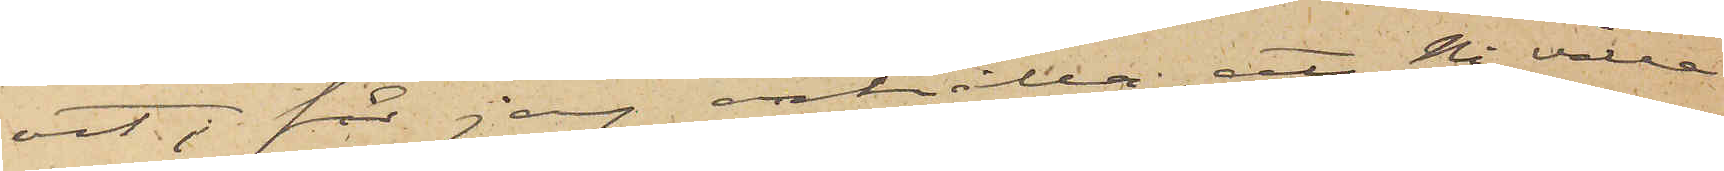ort; får jag anhålla, att Ni ville
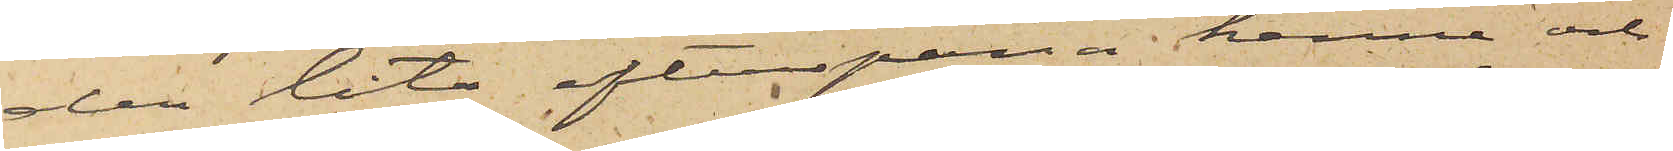der låta efterspana henne och
